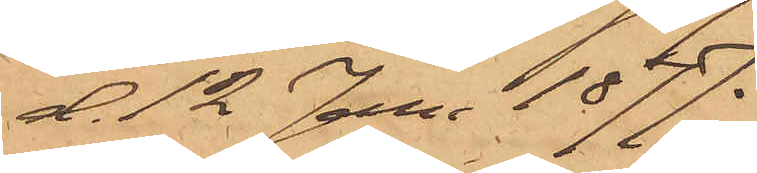d. 12 Juni 1877.
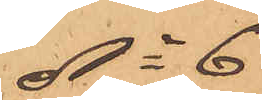No 6
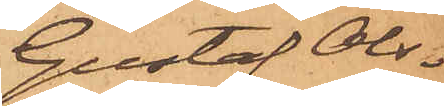Gustaf Ols¬
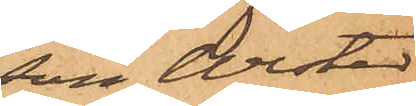son Wester
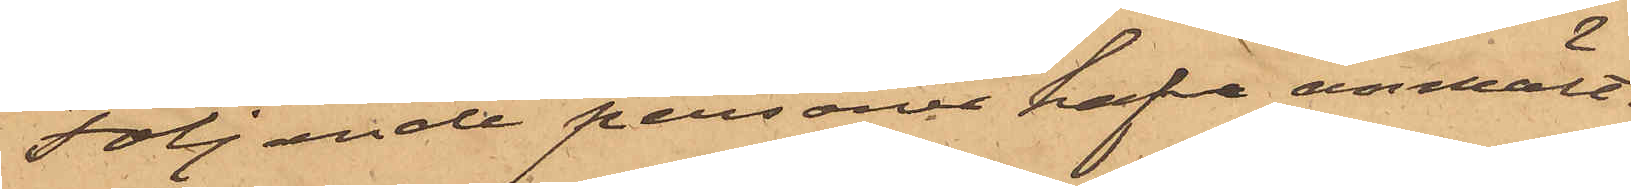Följande personer hafva anmält
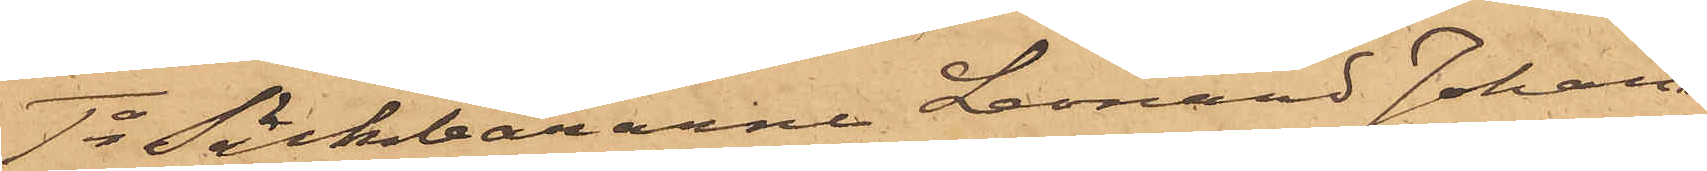1o Säckbärarne Leonard Johans¬
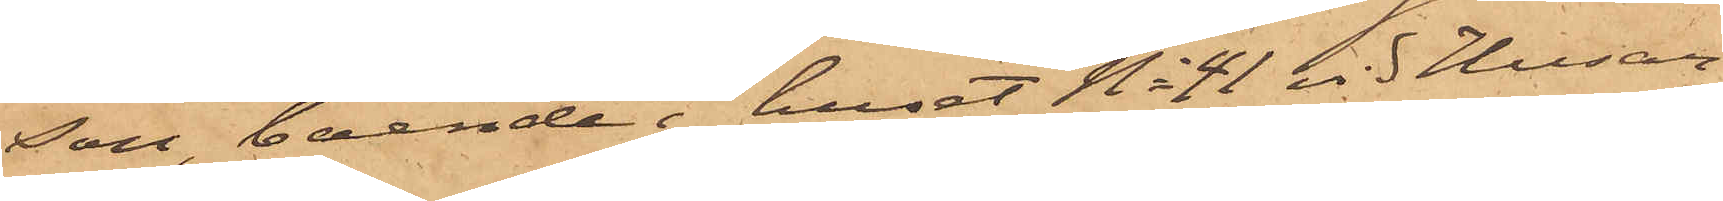son, boende i huset No 41 vid Husar¬
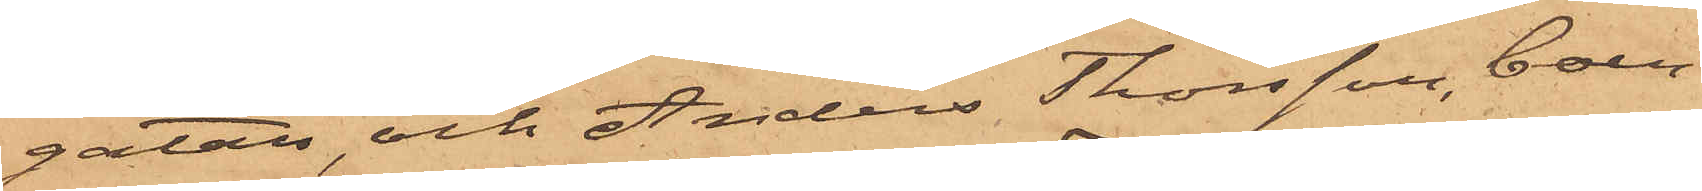gatan, och Anders Thorsson, boen¬
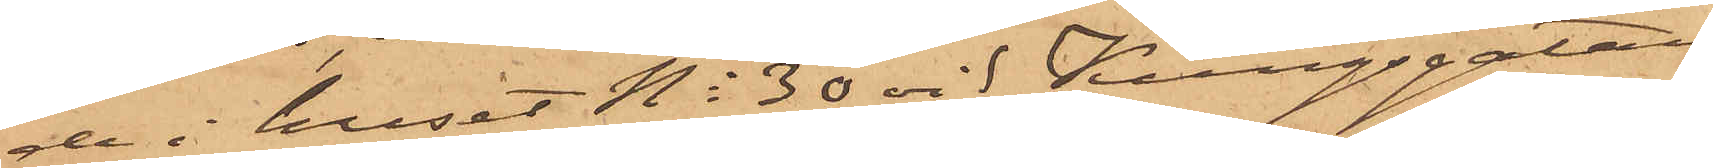de i huset No 30 vid Kungsgatan,
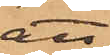att
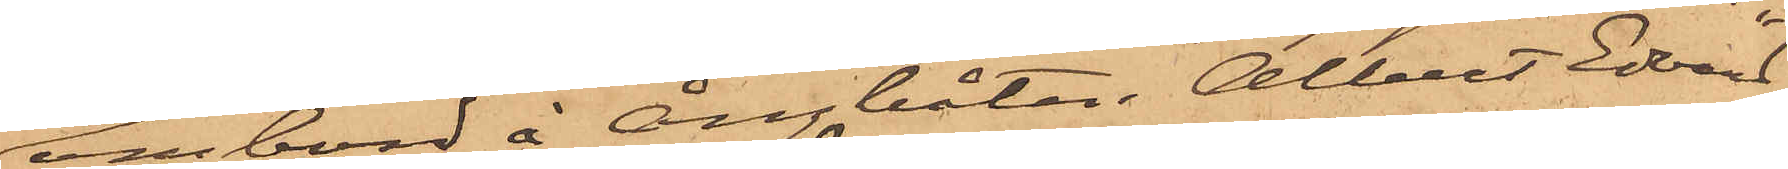ombord å ångbåten Albert Edvard
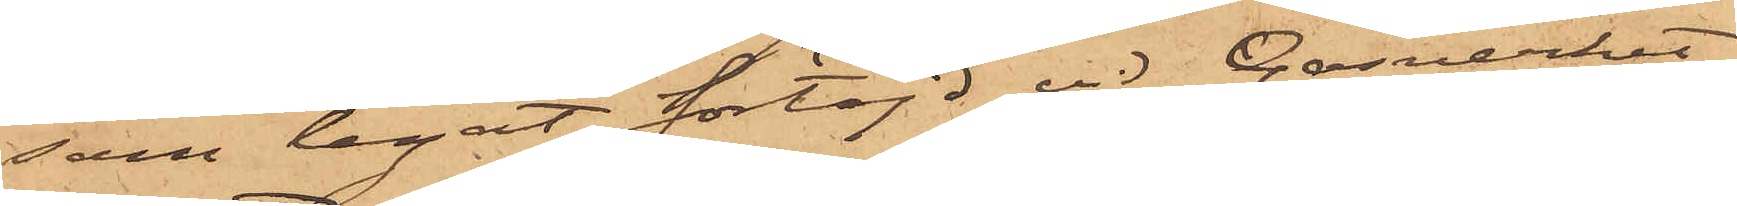som legat förtöjd vid Gasverket
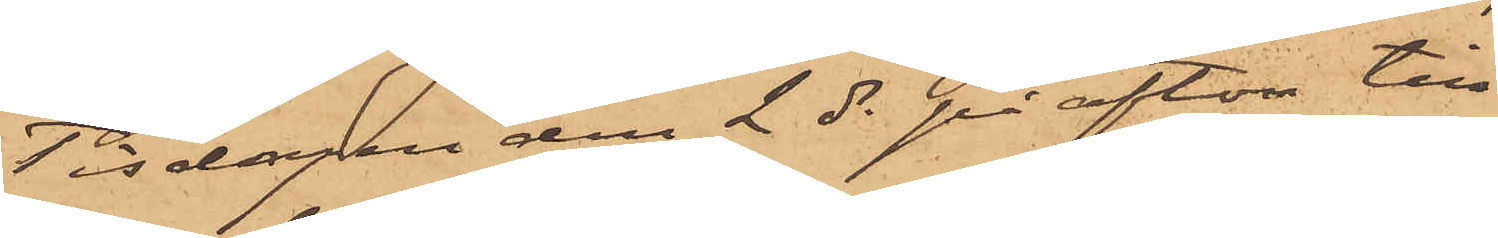Tisdagen den 2 ds på afton till¬
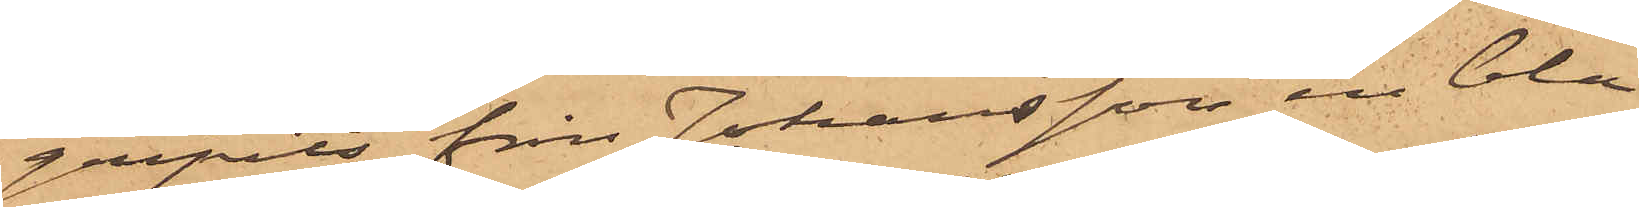gripits från Johansson en blå¬
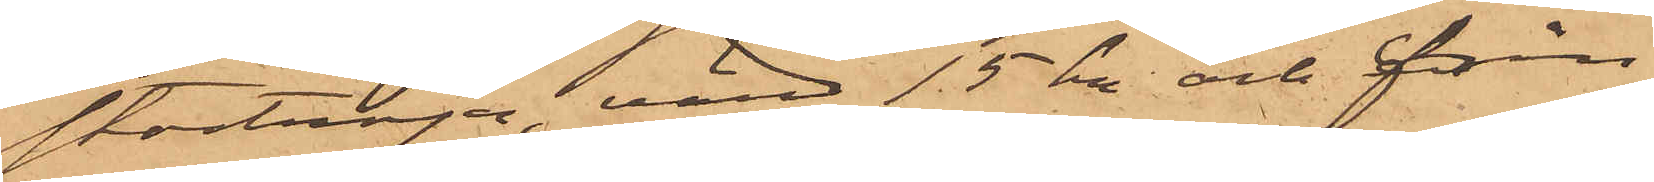stortröja, värd 15 kr och från
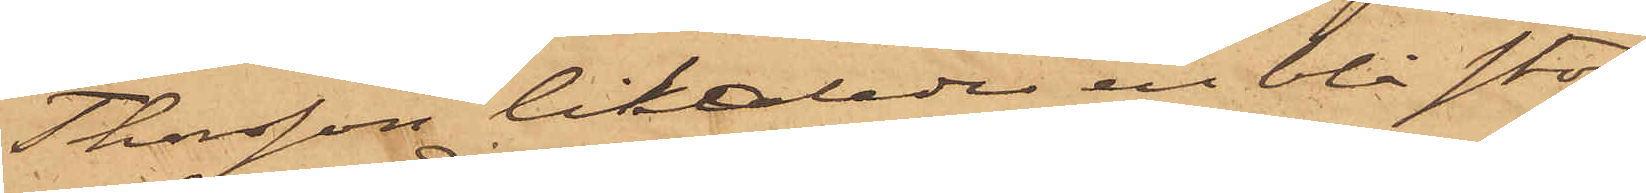Thorsson likaledes en blå stor¬
